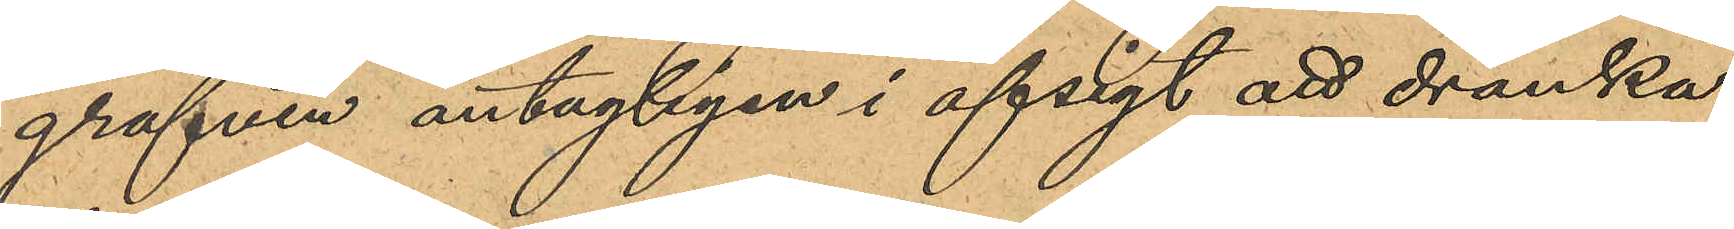grafven antagligen i afsigt att dränka
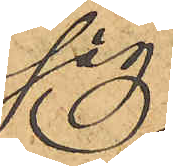sig.
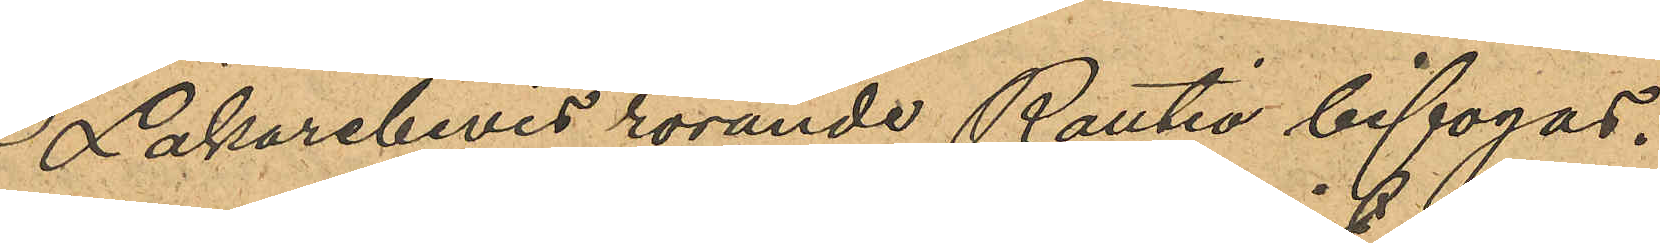Läkarebevis rörande Rautio bifogas.
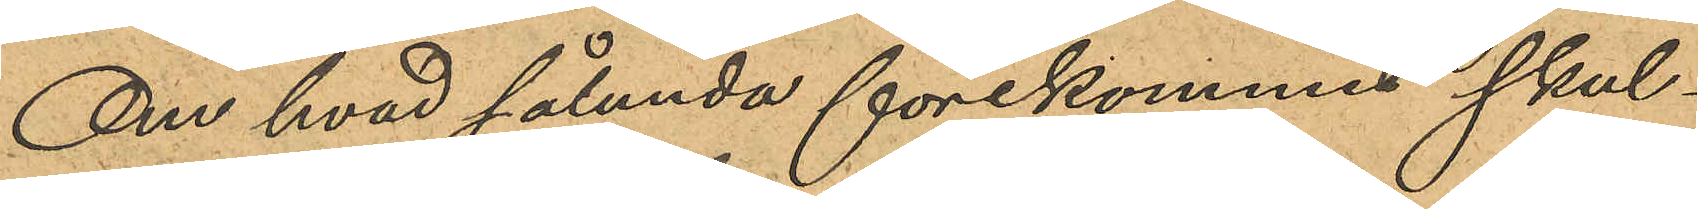Om hvad sålunda förekommit skul¬
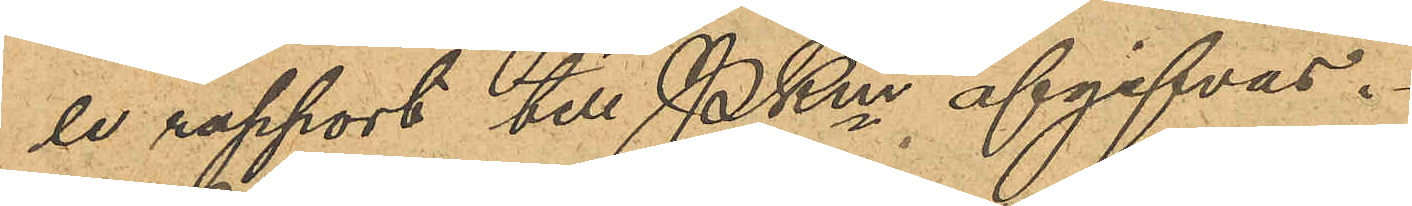le rapport till PKm afgifvas.
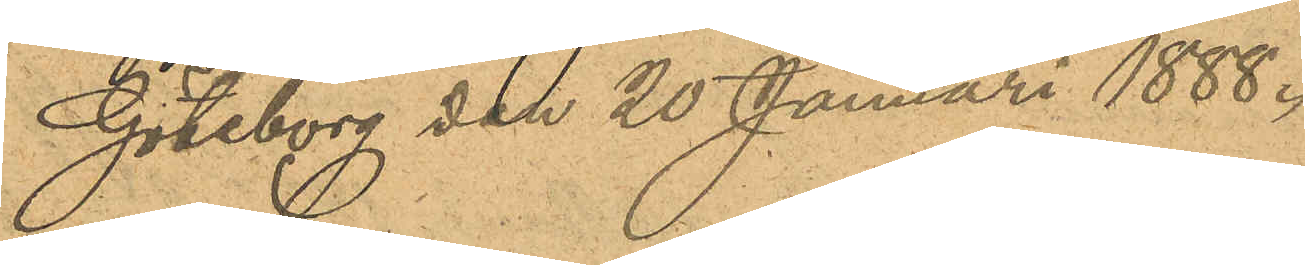Göteborg den 20 Januari 1888.
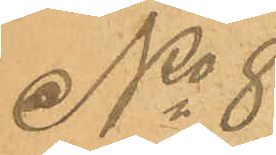No 8
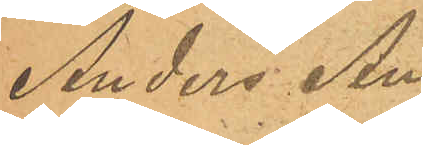Anders An¬
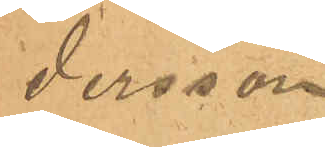dersson
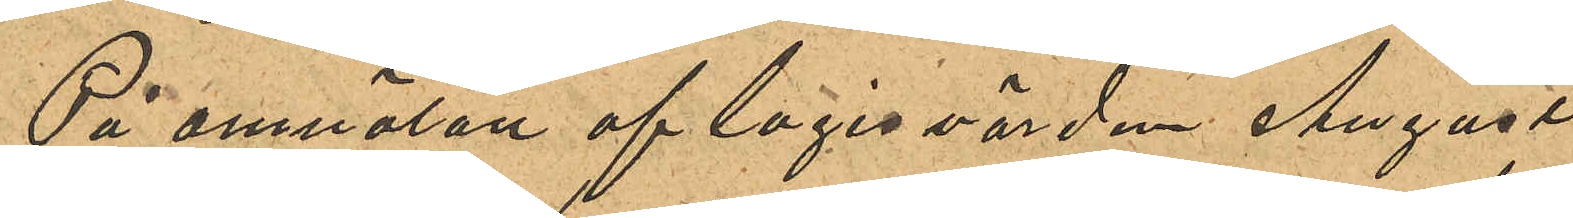På anmälan af logisvärden August
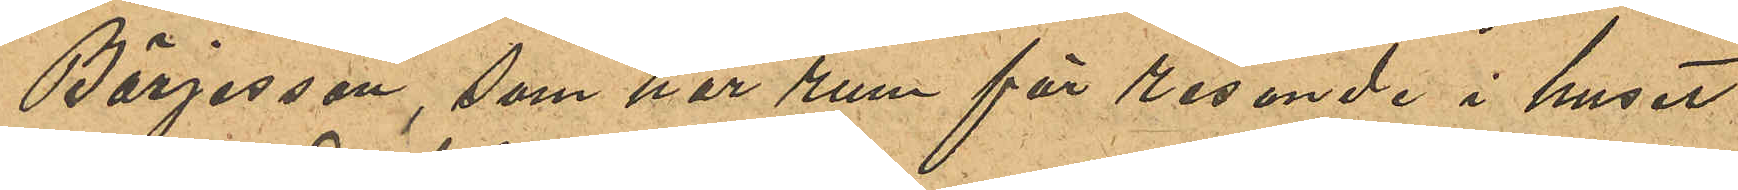Börjesson, som har rum för resande i huset
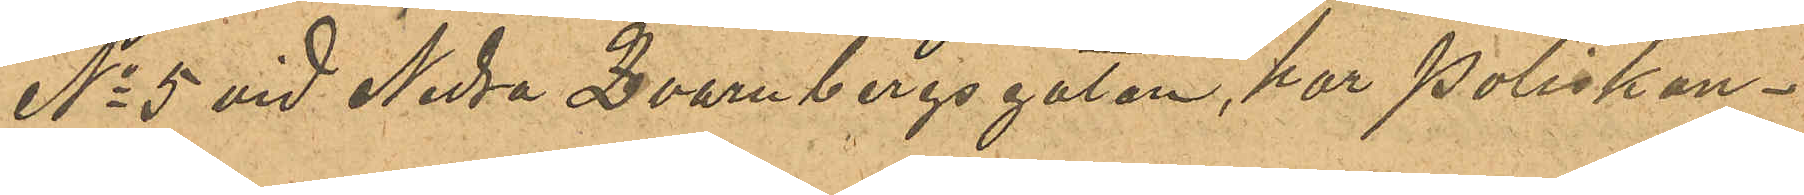No 5 vid Nedra Qvarnbergsgatan, har poliskon¬
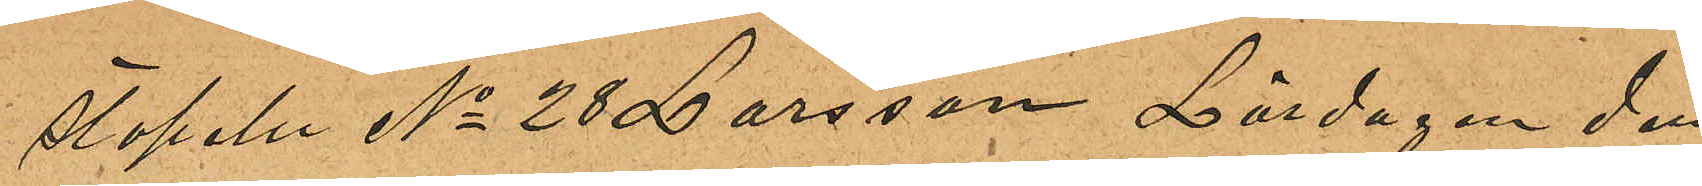stapeln No 28 Larsson Lördagen den
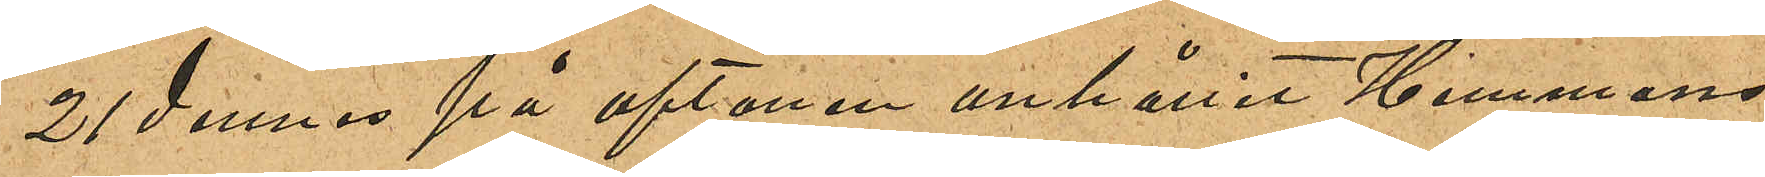21 dennes på aftonen anhållit Hemmans¬
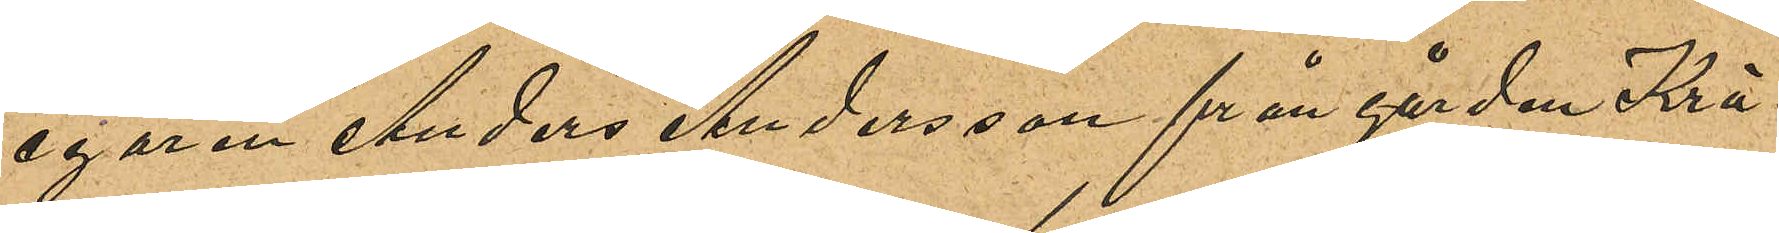egaren Anders Andersson från gården Krå¬
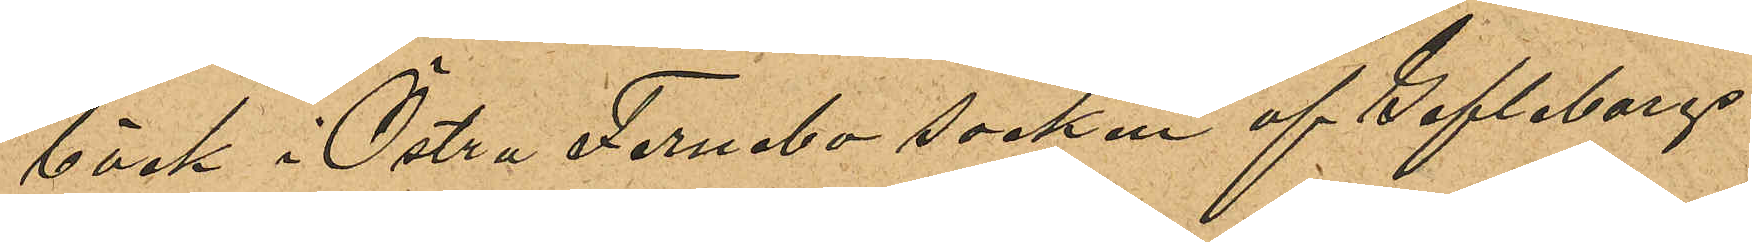bäck i Östra Fernebo socken af Gefleborgs
